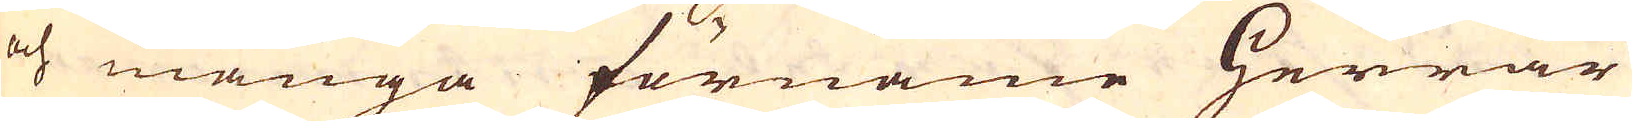och många förnäme Herrar
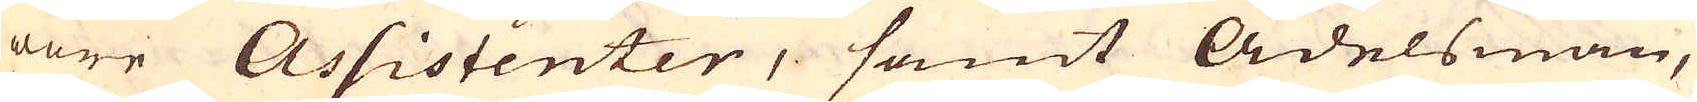wore Assistenter, samt Adelsmän,
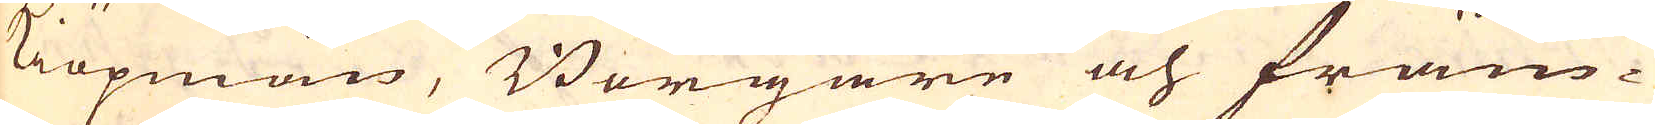Kiöpmän, Borgare och främ-
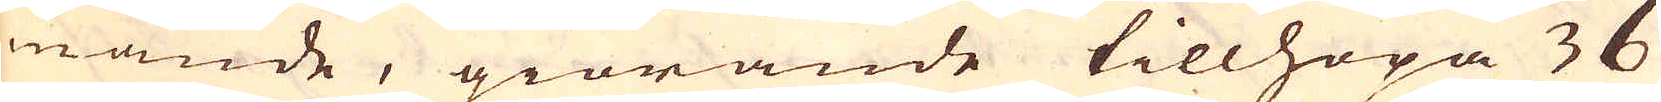mande, giörande tillhopa 36
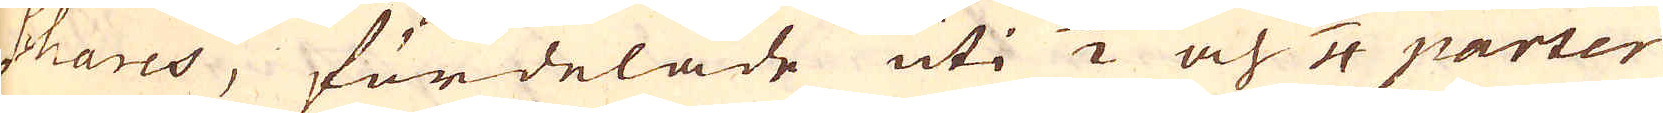shares, fördelade uti 1/2 och 1/4 parter
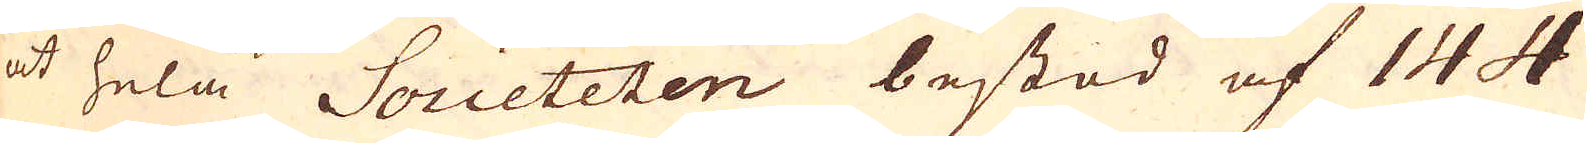at hela Societeten bestod af 144
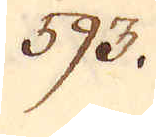593.
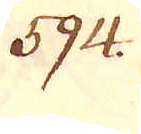594.
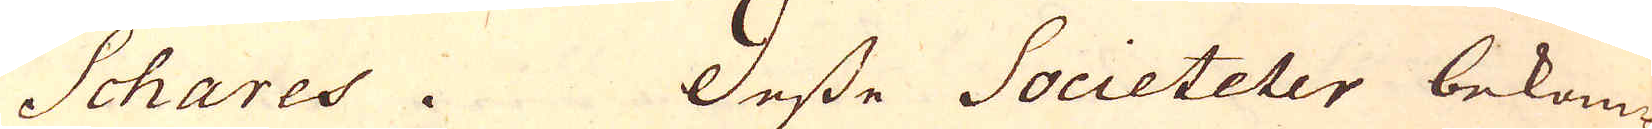Schares. Desse Societeter bekom-
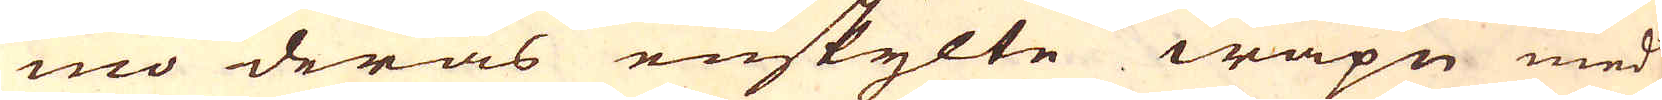mo deras enskylte wapn med
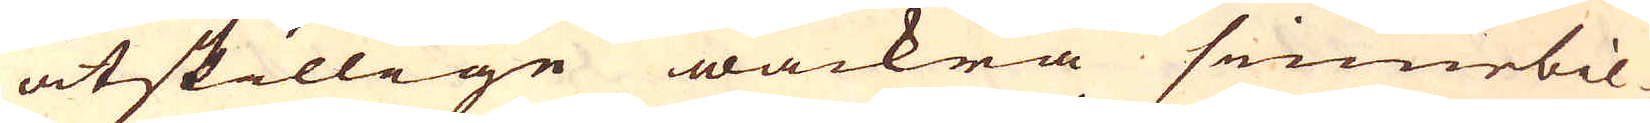åtskillige wackra sinnebil-
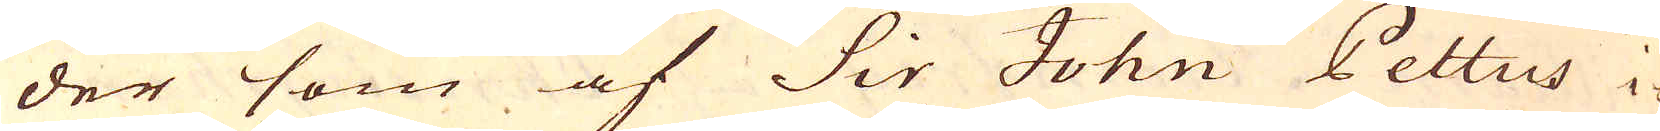der som af Sir John Pettus i
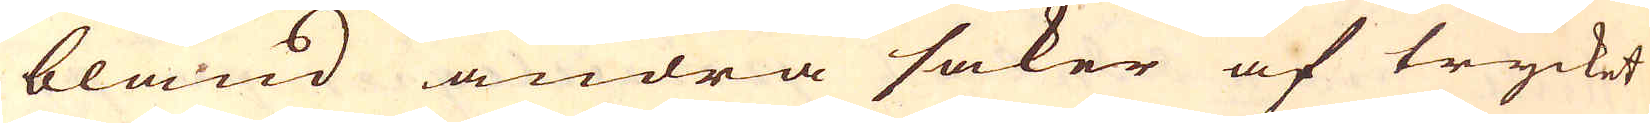bland andra saker af trycket
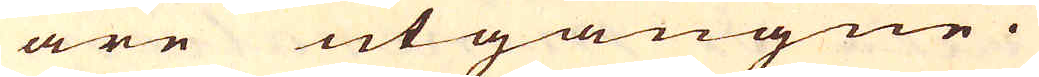äre utgångne.
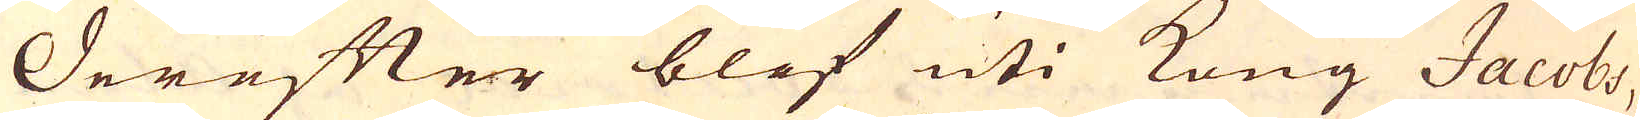Derefter blef uti Kong Jacobs,
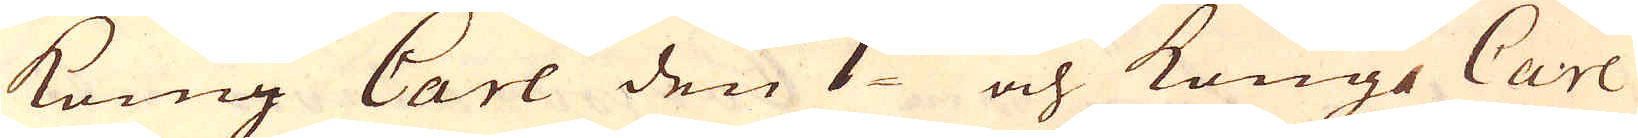Kong Carl den 1:sts och Kong Carl
